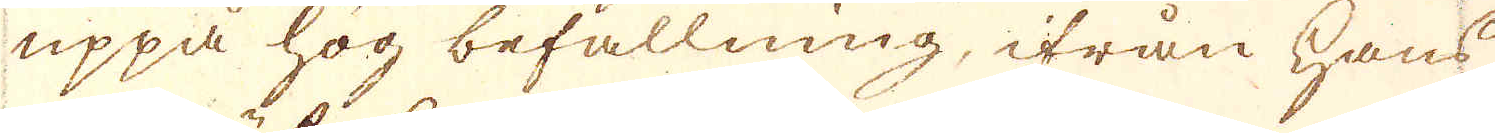uppå hög befallning, ifrån hans
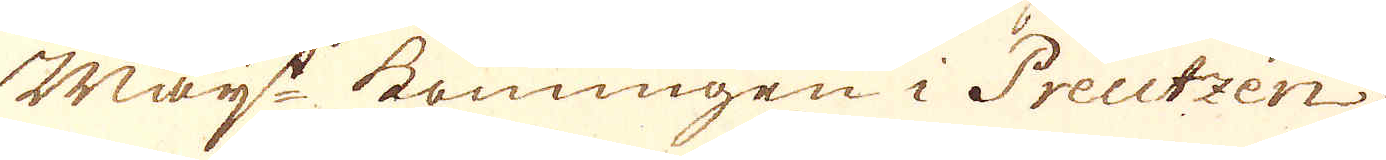Maj:t konungen i Preutzen
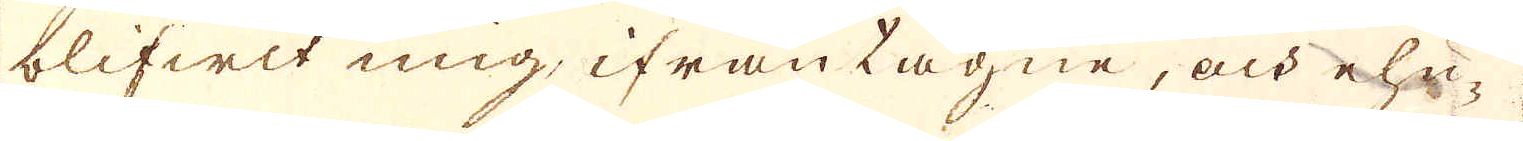blifwit mig, ifråntagne, och ehu-
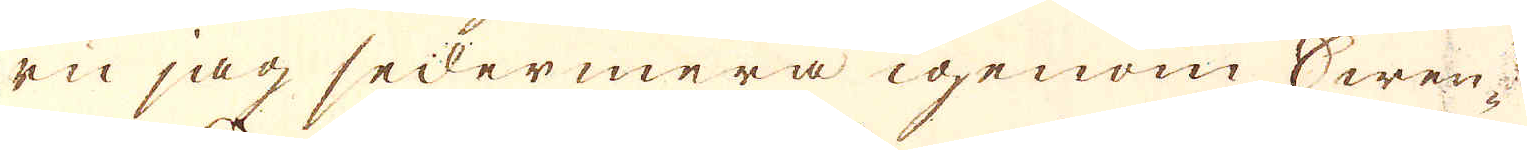ru jag sedermera igenom Swen-
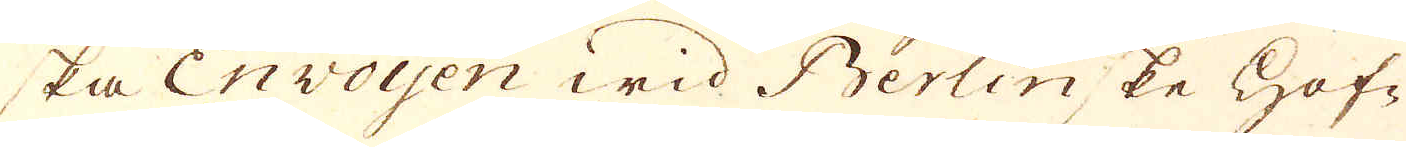ska Envoyen wid Berlinske Hof-
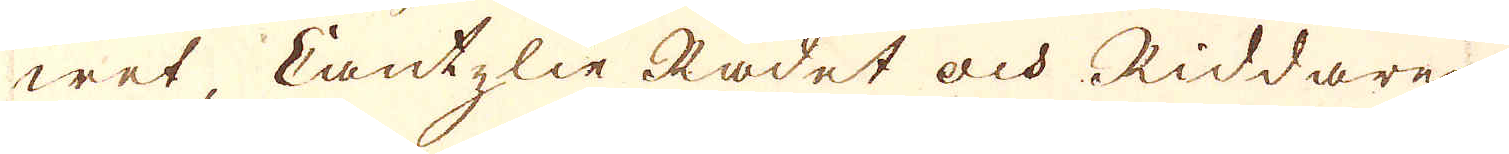wet, Cantzlie Rådet och Riddaren
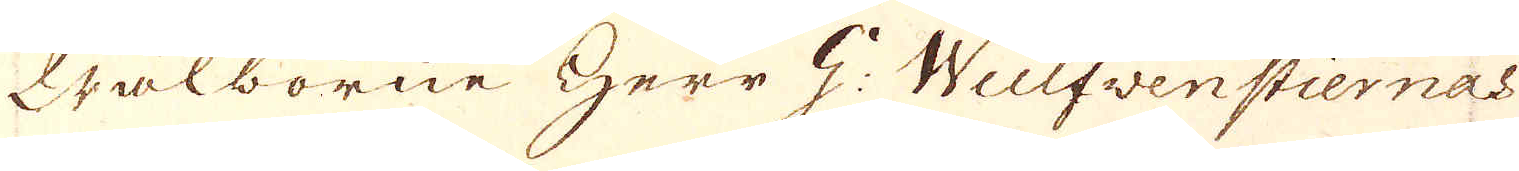Wälborne Herr G: Wulfvenstiernas
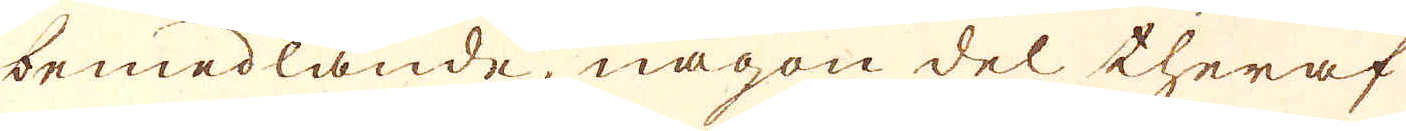bemedlande, någon del theraf
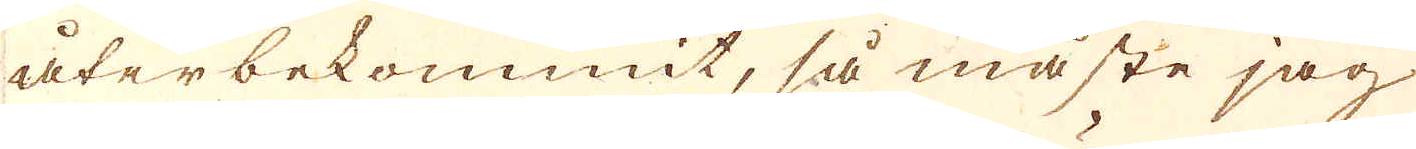återbekommit, så måste jag
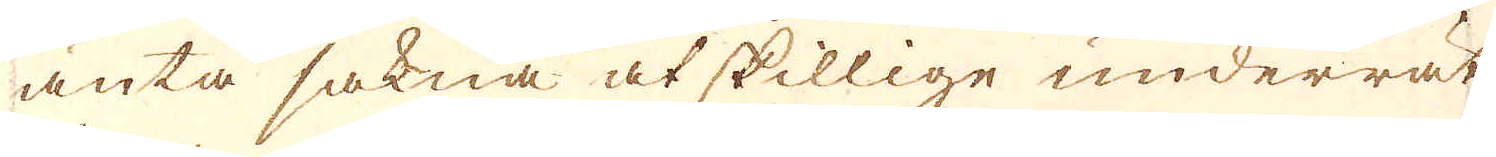äntå sakna åtskillige underrät-
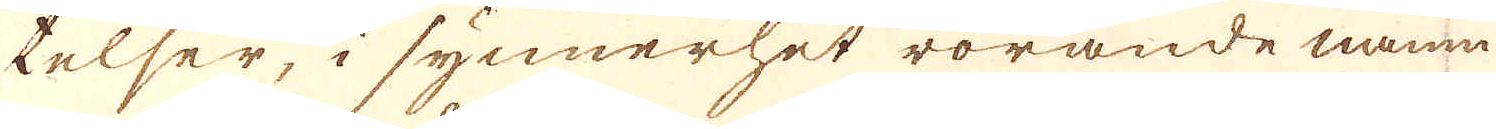telser, i synnerhet rörande namn,
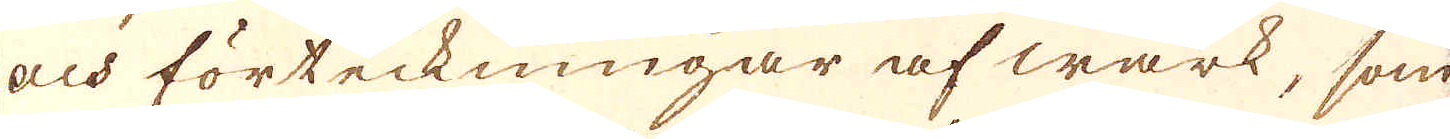och förteckningar af wärk, som
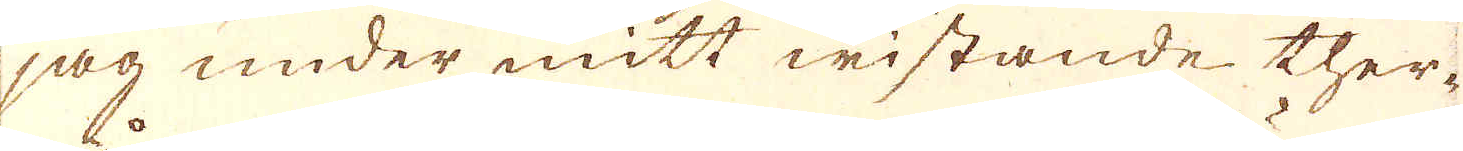jag under mitt wistande ther-
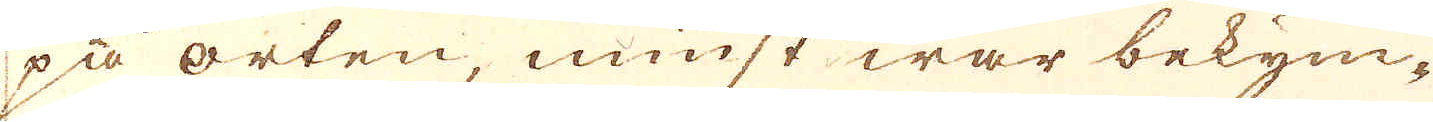på orten, minst war bekym-
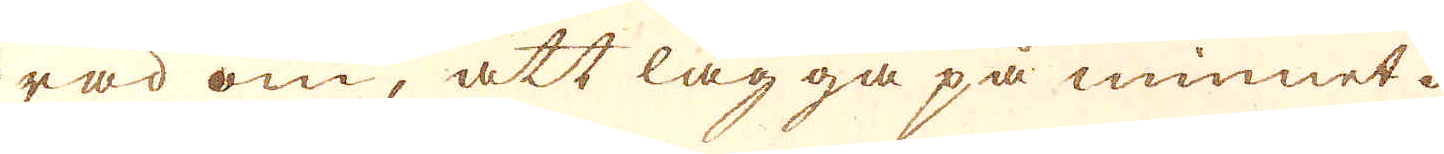rad om, att lägga på minnet.
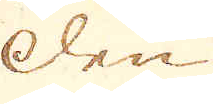den
